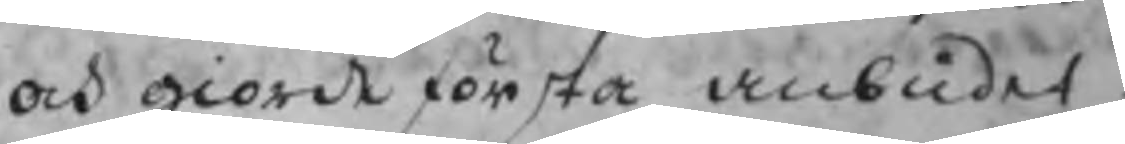och giorde första anbudet
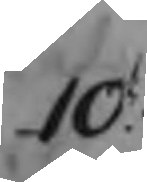10
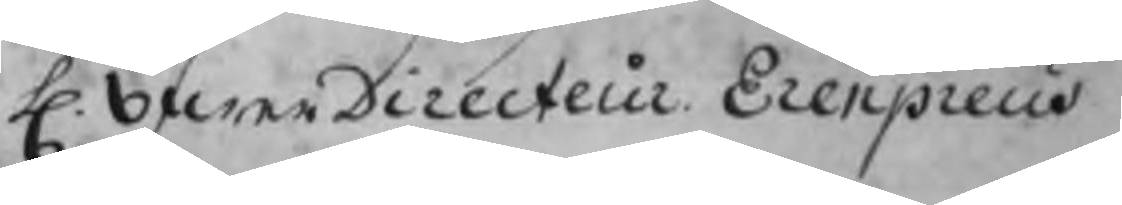H.  öfwerDirecteur Erenpreus
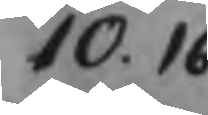10.16
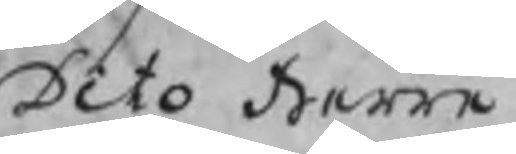Dito Herre
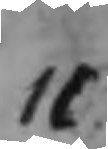11
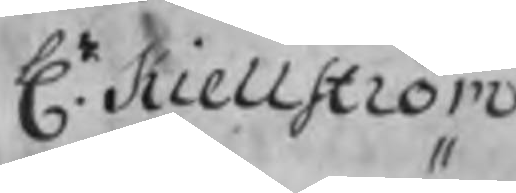Hr. Kiellström
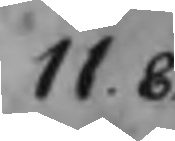11.8
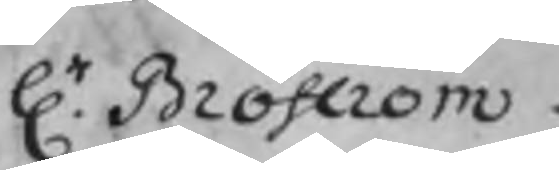Hr. Broström
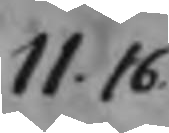11.16
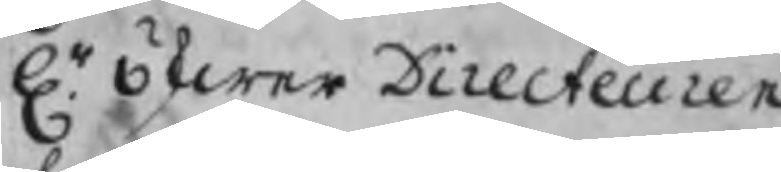Hr. öfwer Directeuren
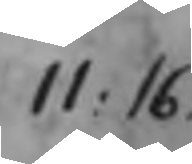11.16
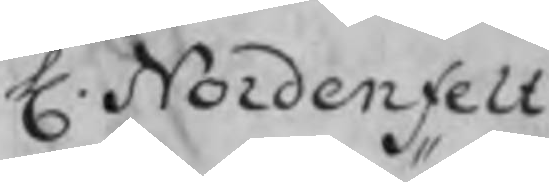H. Nordenfelt
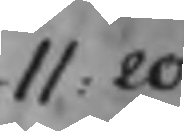11.20
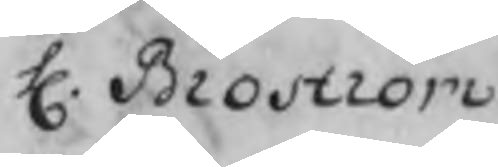H. Broström
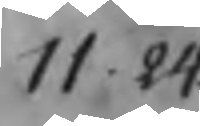11.24
